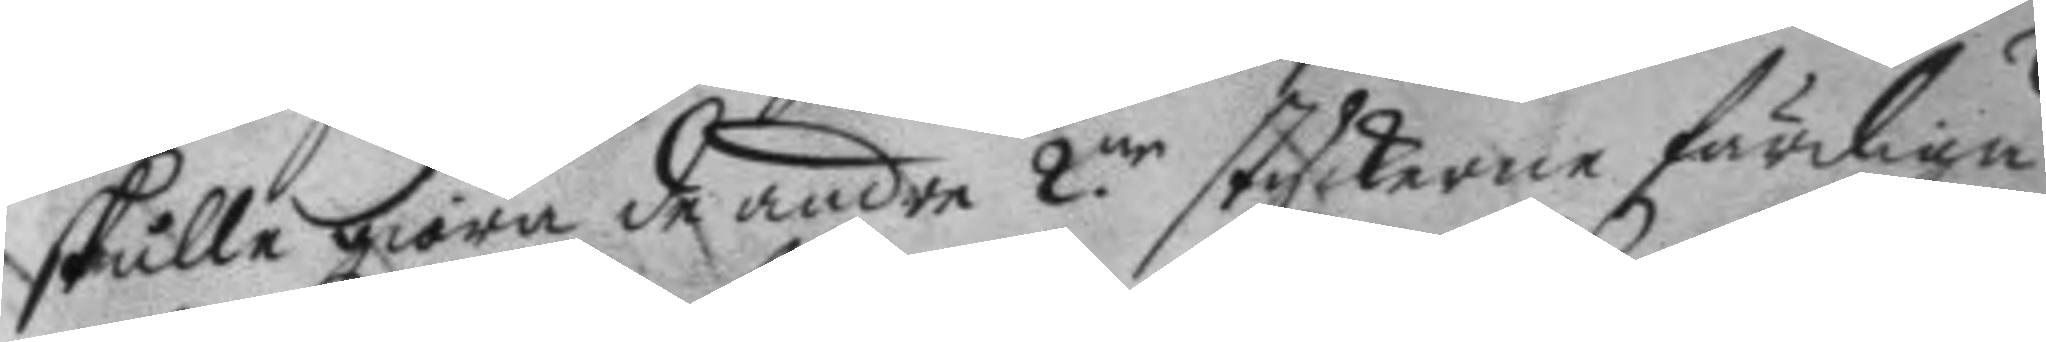skulle giöra de andre 2.ne styckerne färdiga
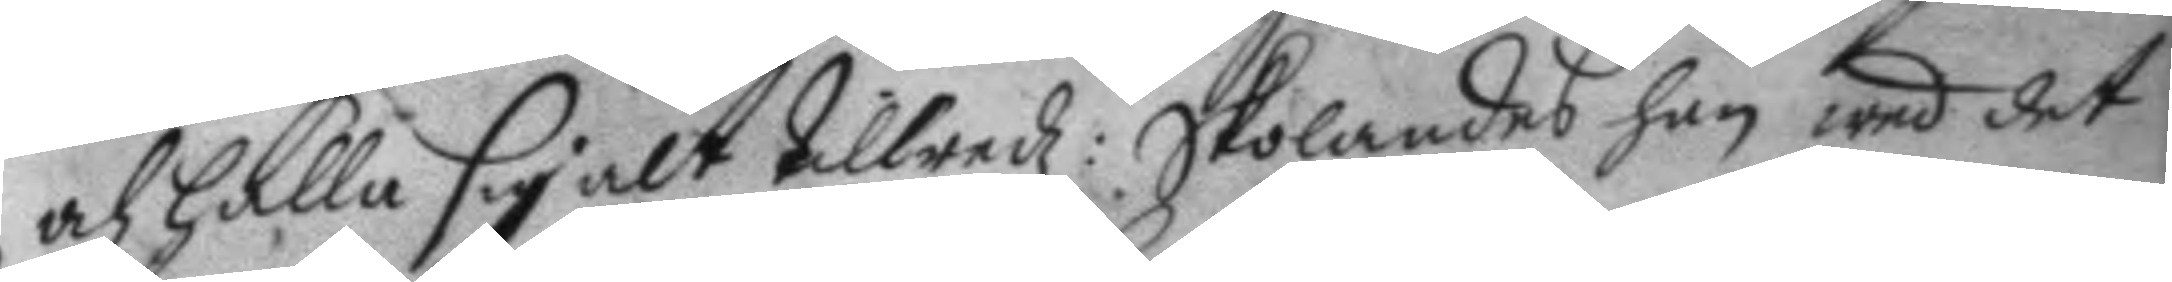och hålla sig alt tillredz: Skolandes han wed det
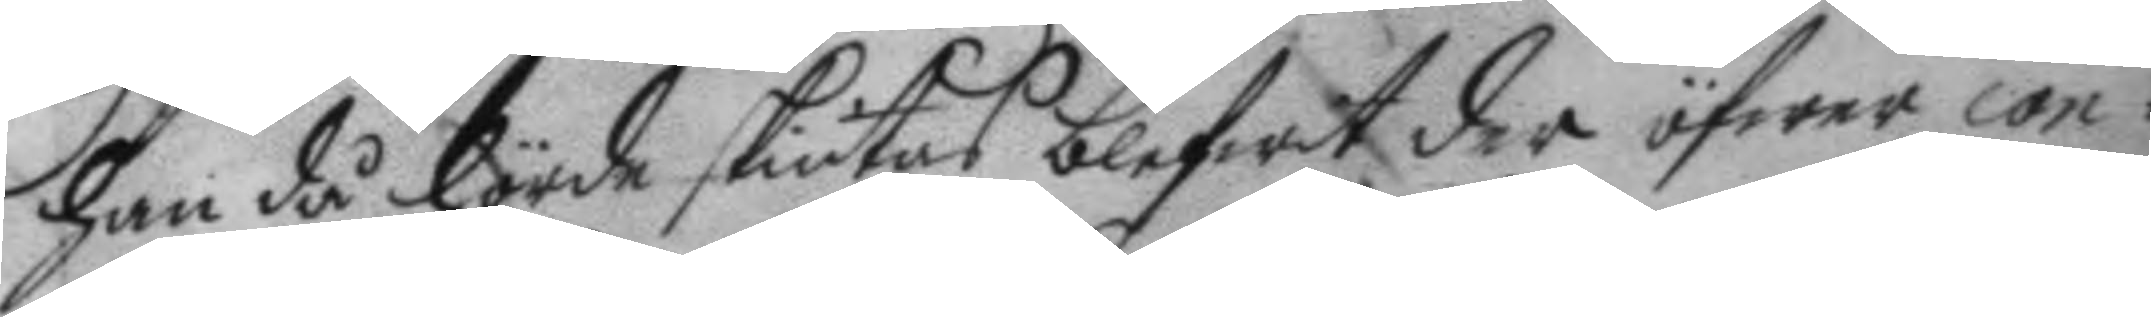han då hörde skiutas blefwit der öfwer con¬
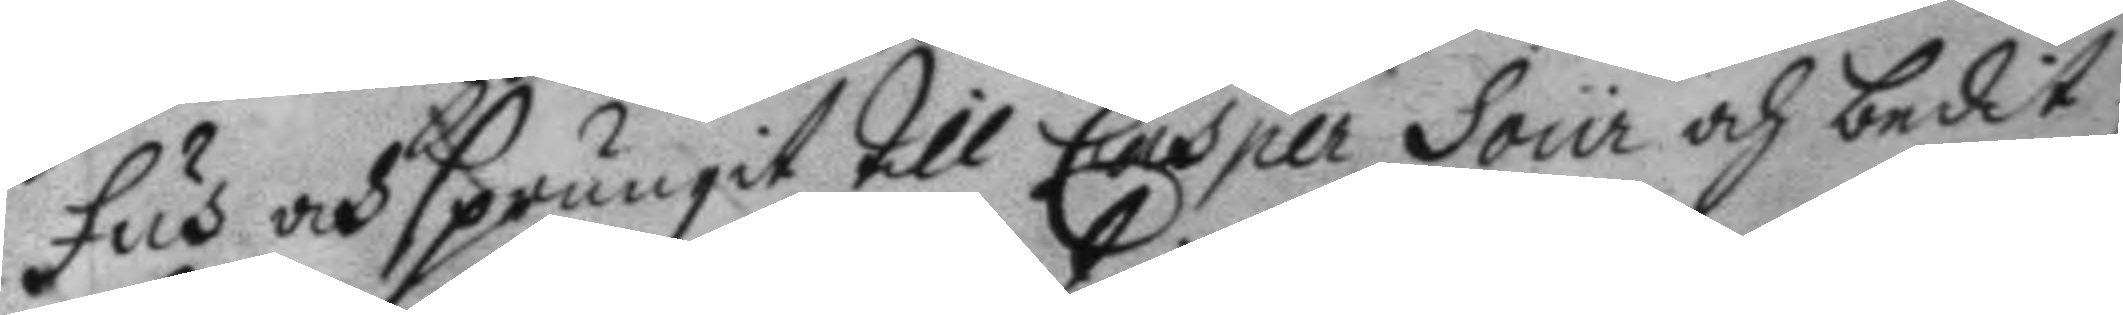fus och sprungit till Casper Sour och bedit
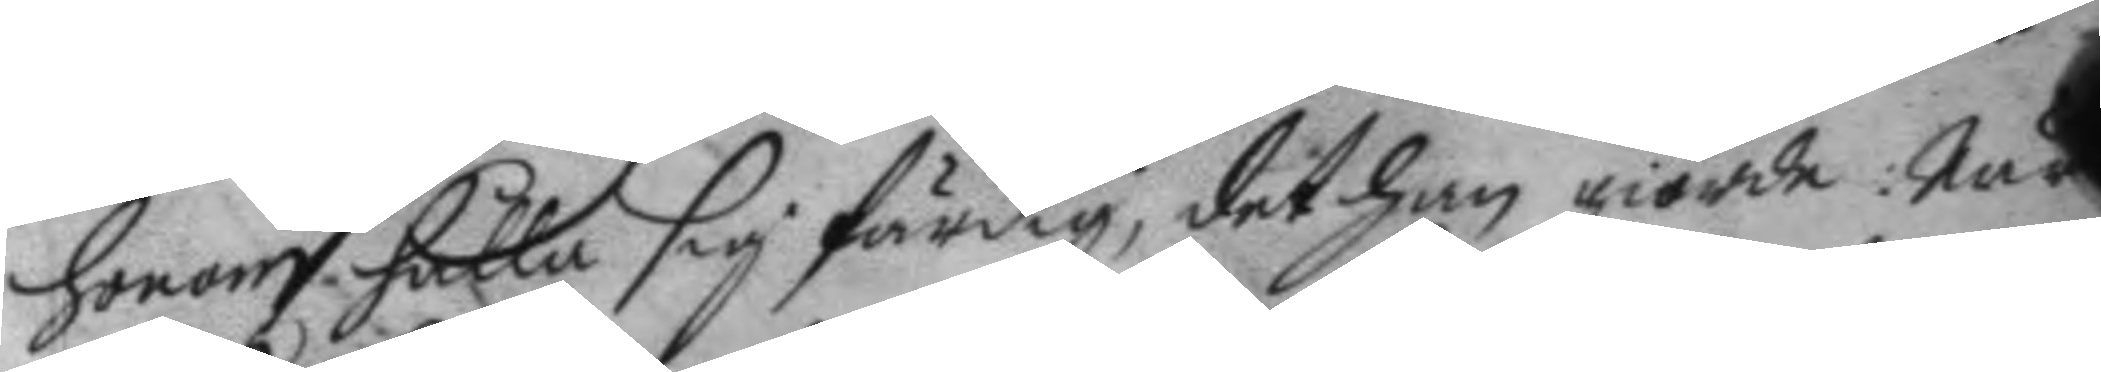honom hålla sig färdig; det han giorde; När
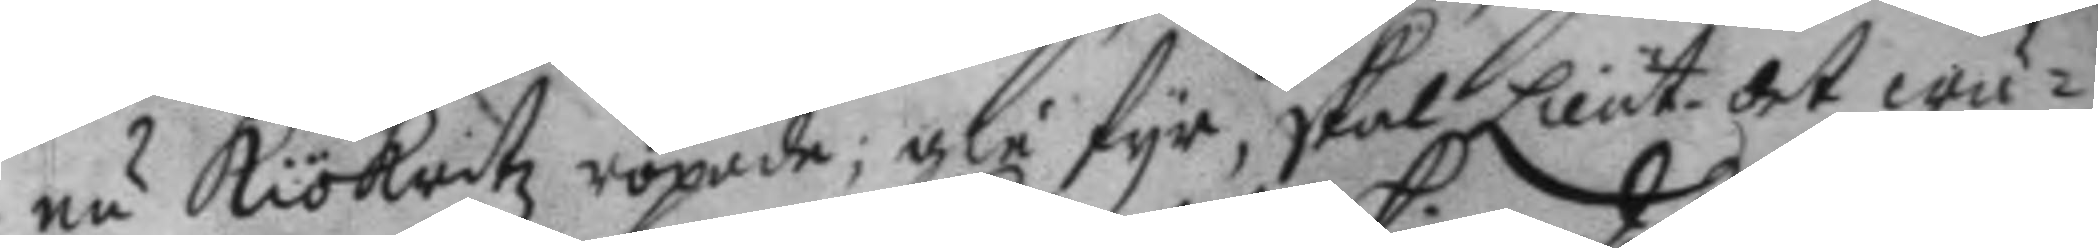nu Kökritz ropade; gie fyr, skal Lieut. det wä¬
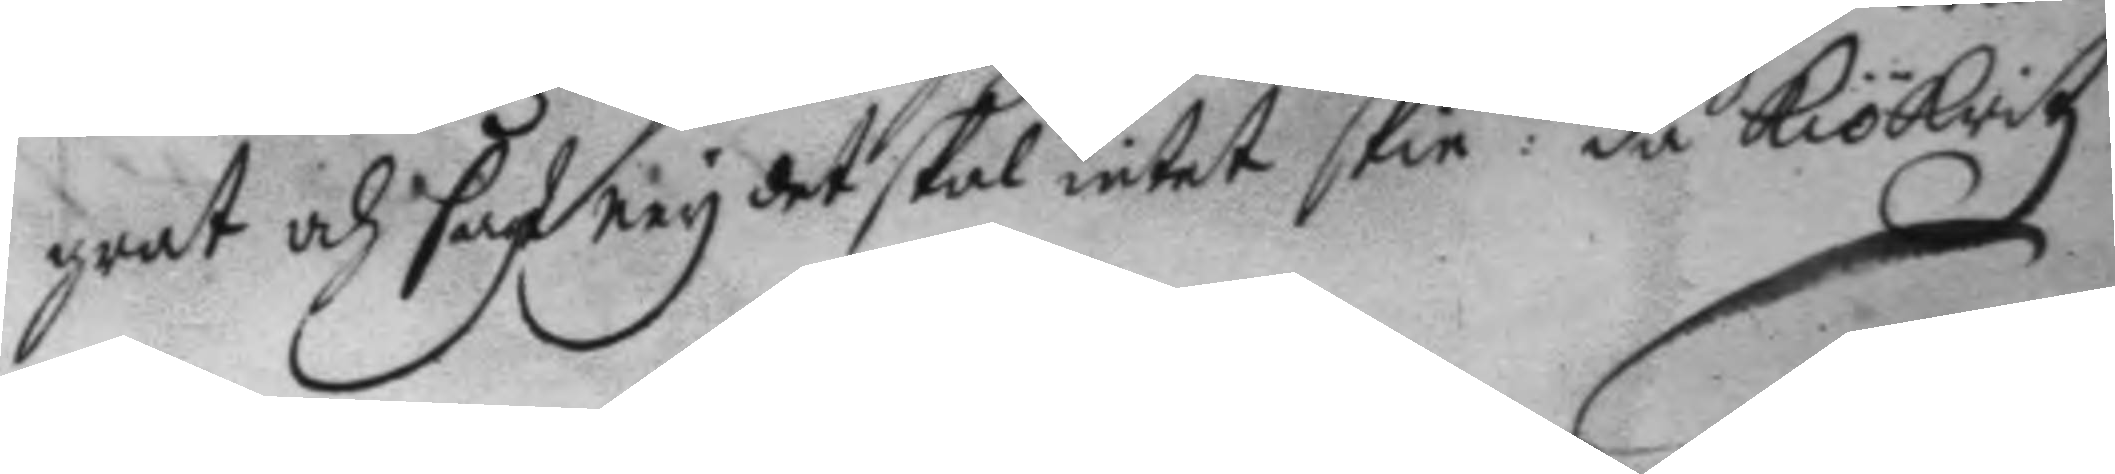grat och sagt ney det skal intet skie: då Kökritz
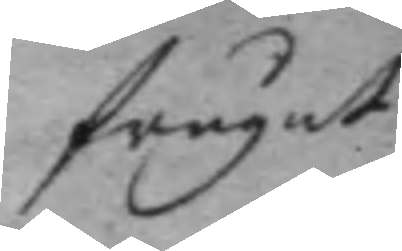frågat
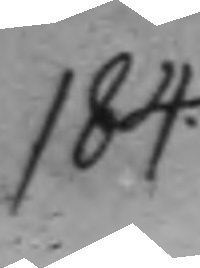184.
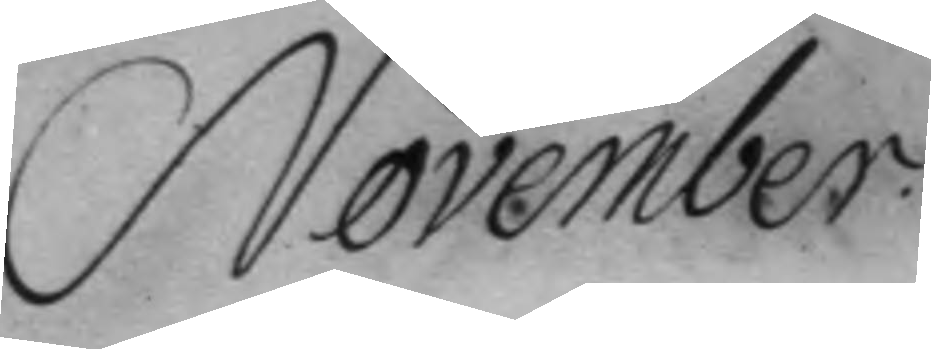November.
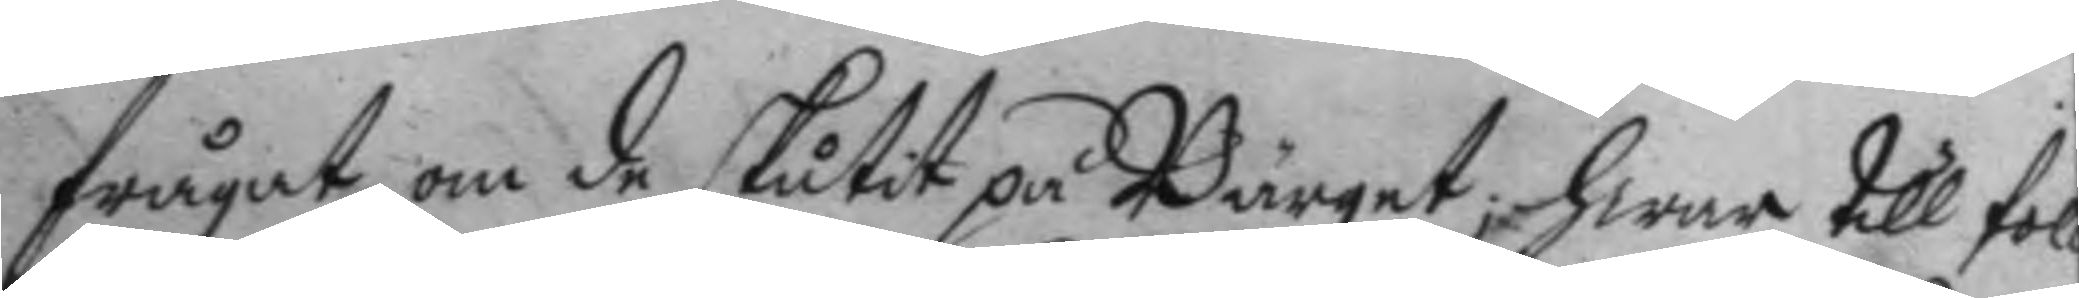frågat om de skutit på Bärget; hwar till fol¬
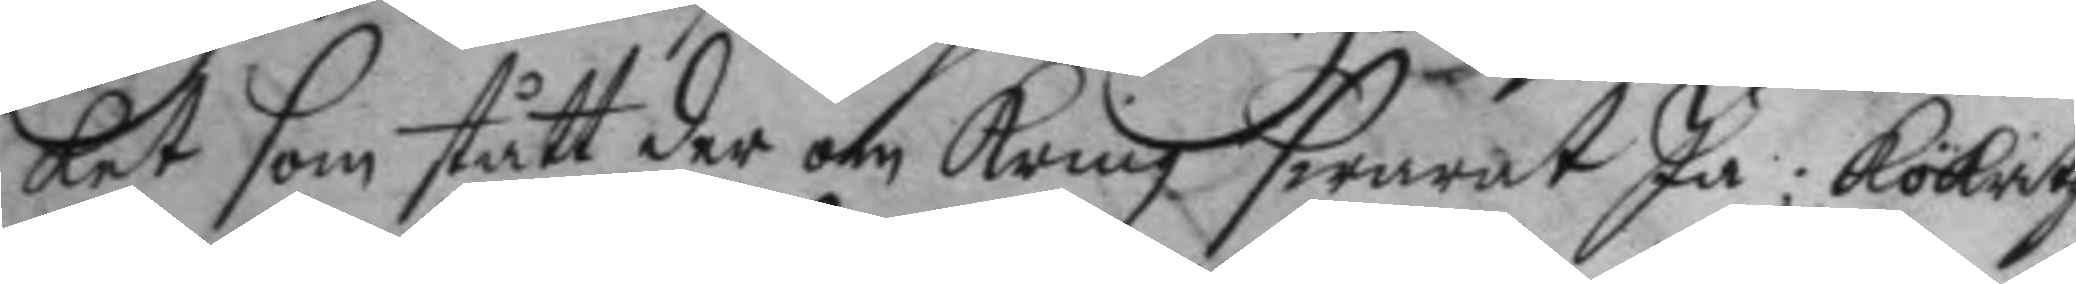ket som stått der om kring swarat Ja; Kökritz
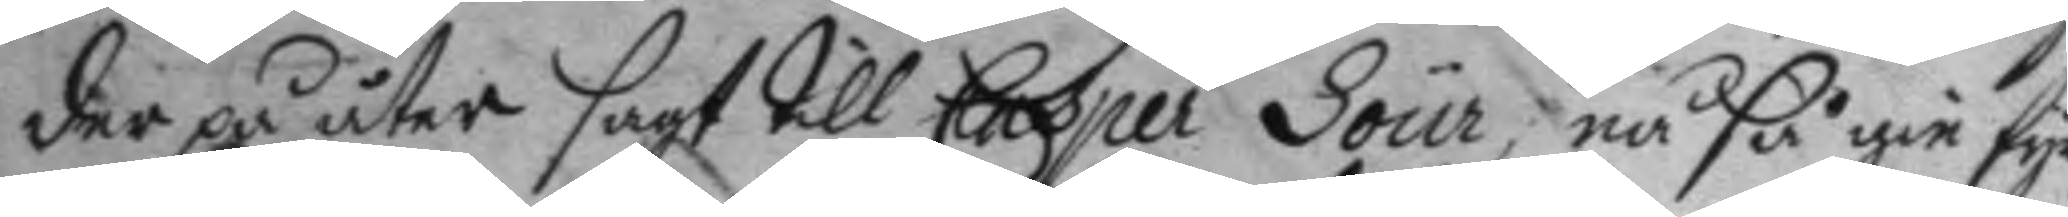der på åter sagt till Casper Sour, nå så gie fyr
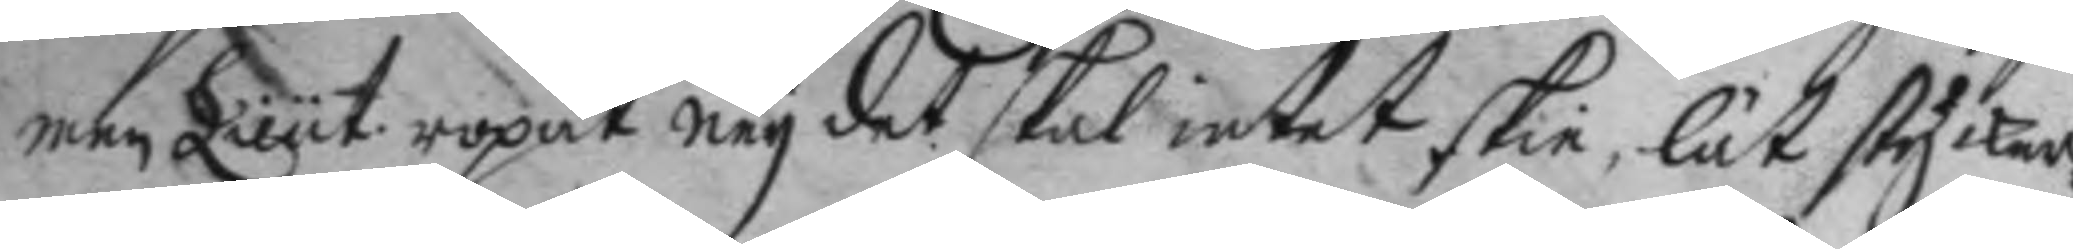men Lieut. ropar ney det skal intet skie, lät stycker¬
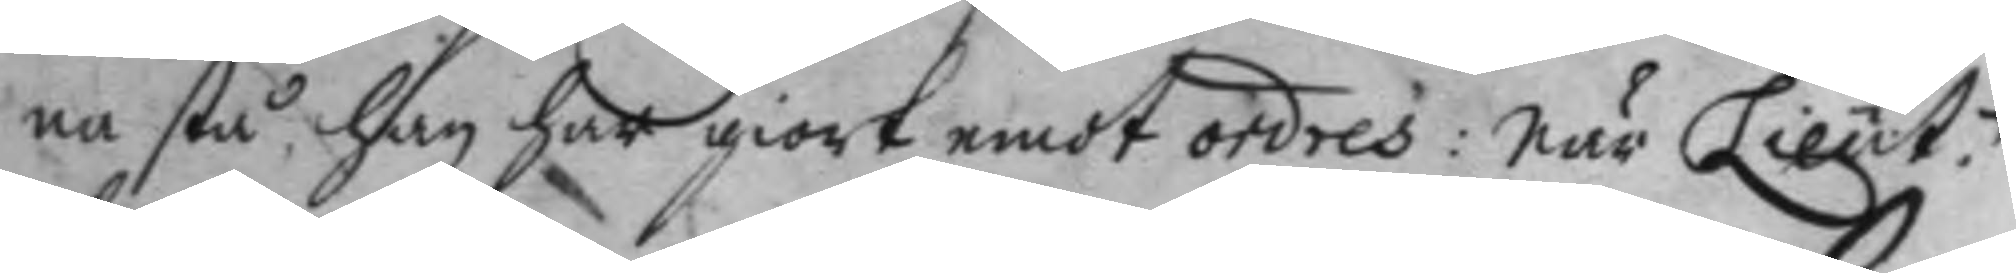ne stå han har giort emot ordres: När Lieut.n
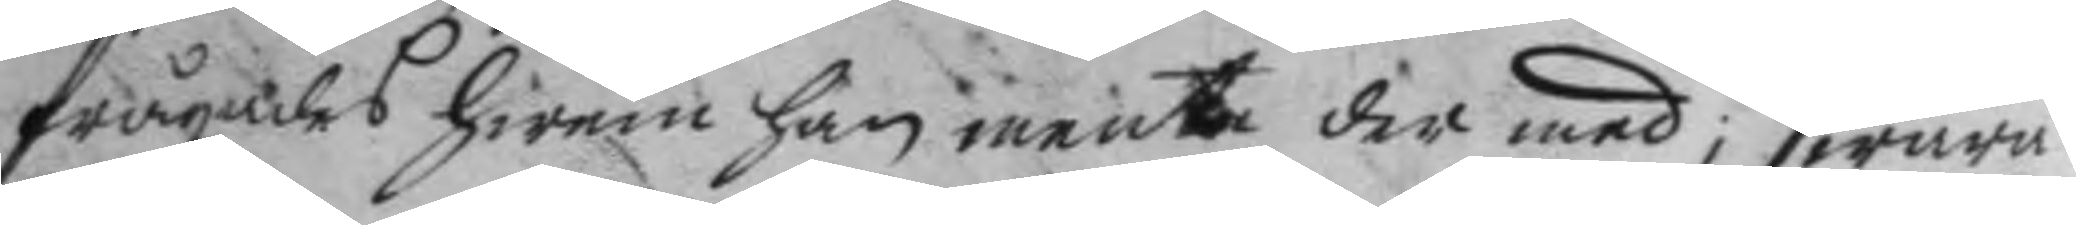frågades hwem han mente der med; swara¬
